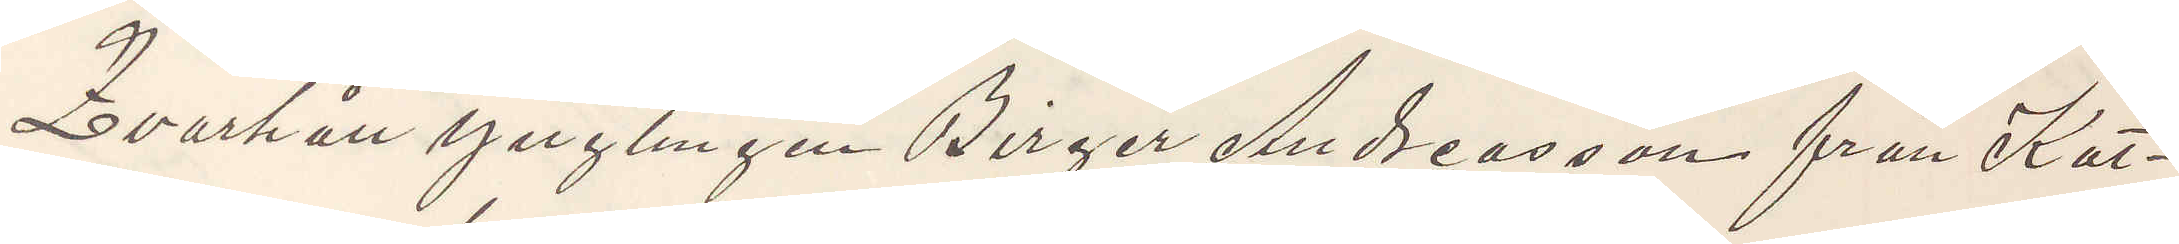Kvarhåll ynglingen Birger Andreasson från Kat¬
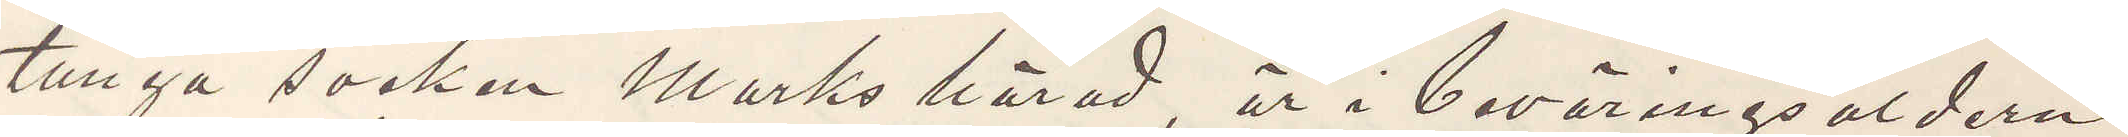tunga socken Marks härad, är i beväringsåldern
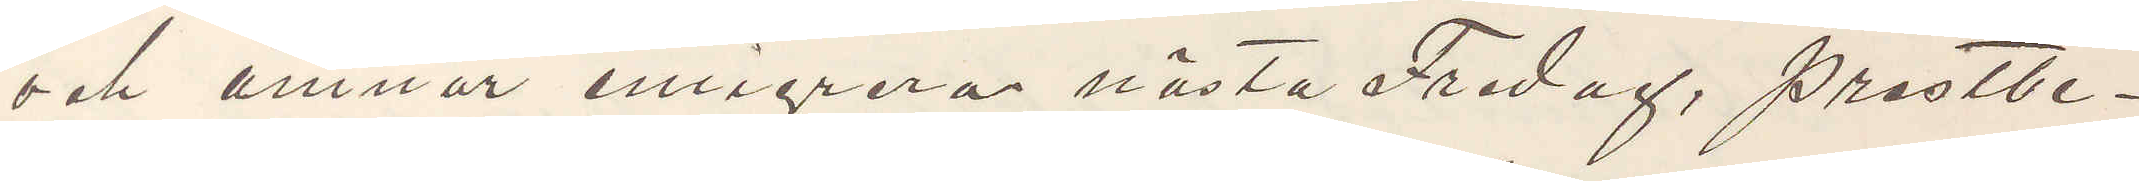och ämnar emigrera nästa Fredag, prästbe¬
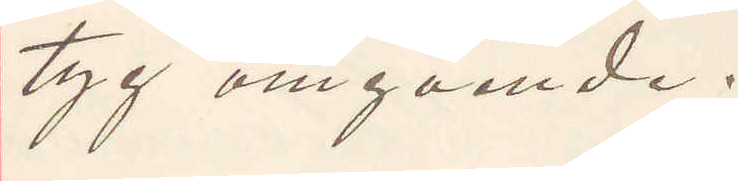tyg omgående.
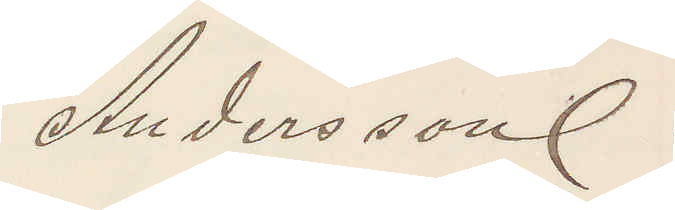Andersson.
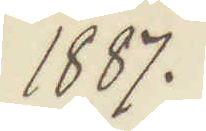1887.
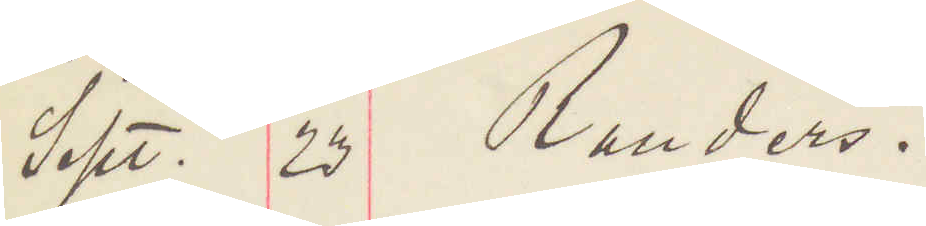Sept. 2 Randers.
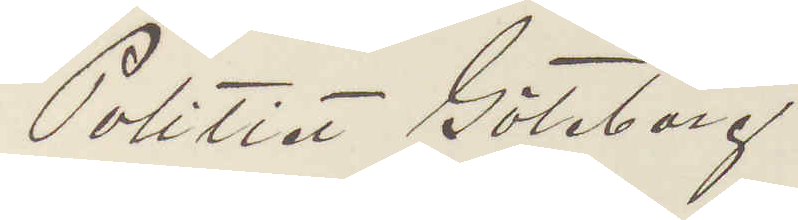Politiet Göteborg.
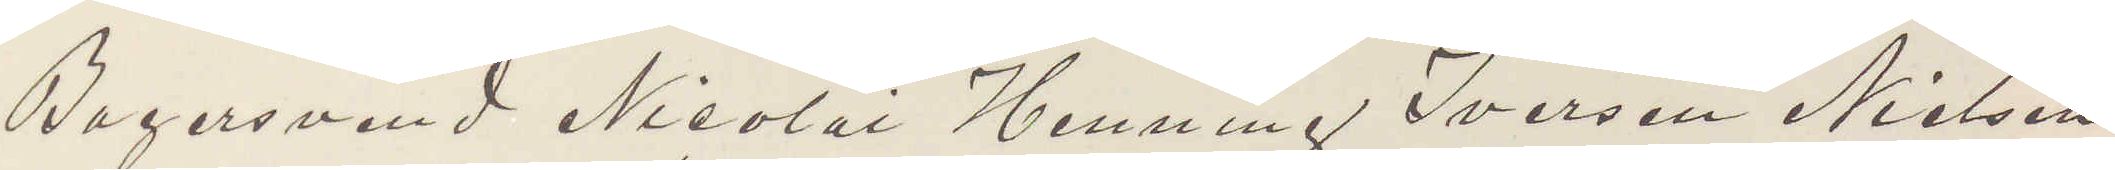Bagersvend Nicolai Henning Iversen Nielsen
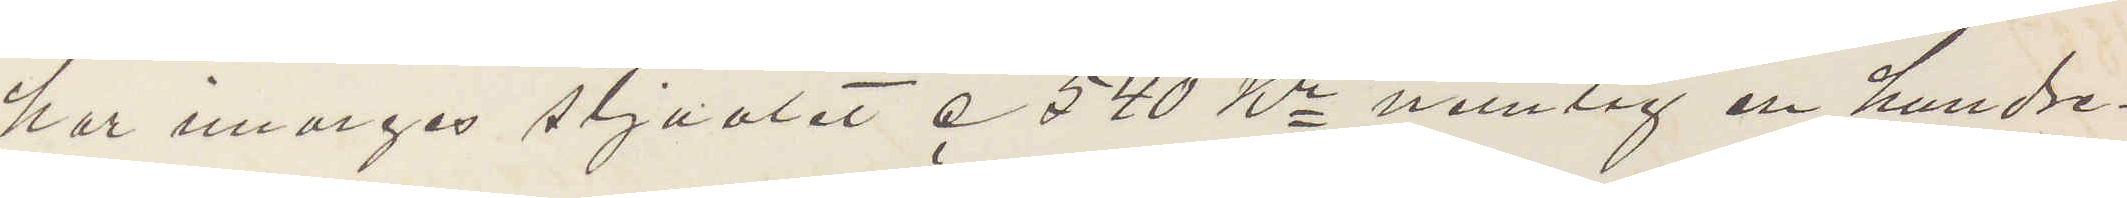har morges stjuolet c 540 Kr nemlig en hundre¬
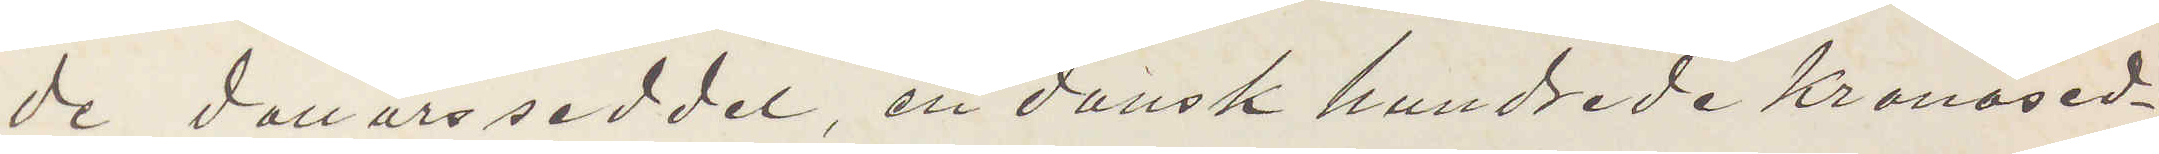de dollarsseddel, en dansk hundrede Kronosed¬
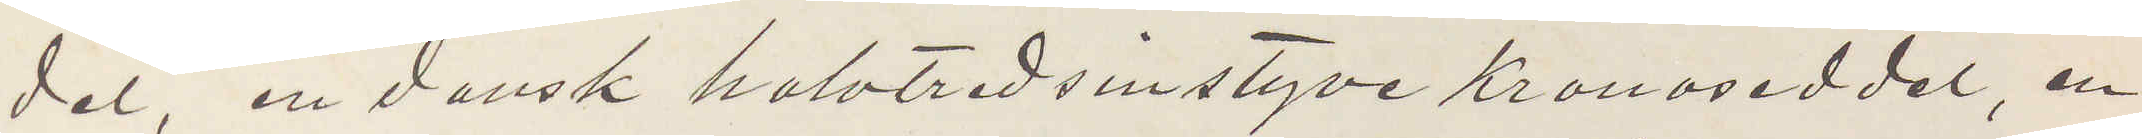del, en dansk halvtredsinstyve kronoseddel, en
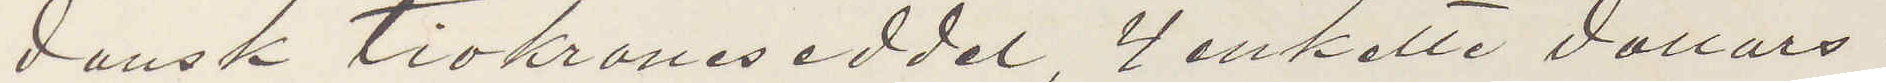dansk tiokroneseddel 4 enkelte dollars.
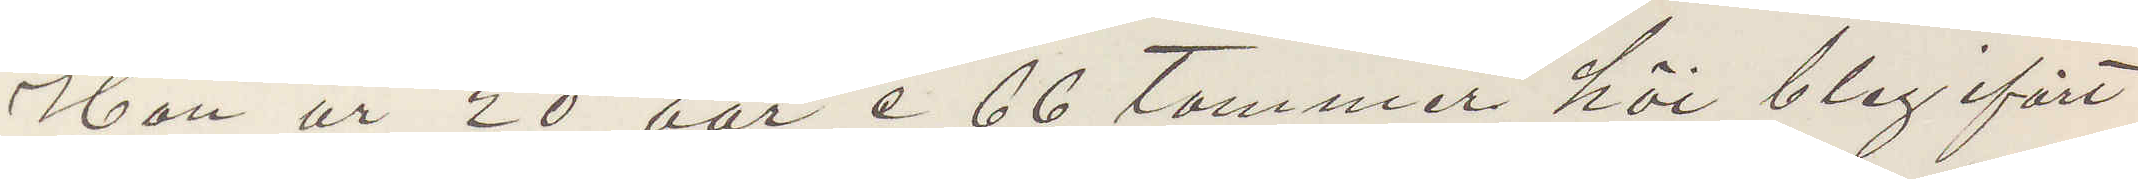Han är 20 aar c 66 tommer höi bleg ifört
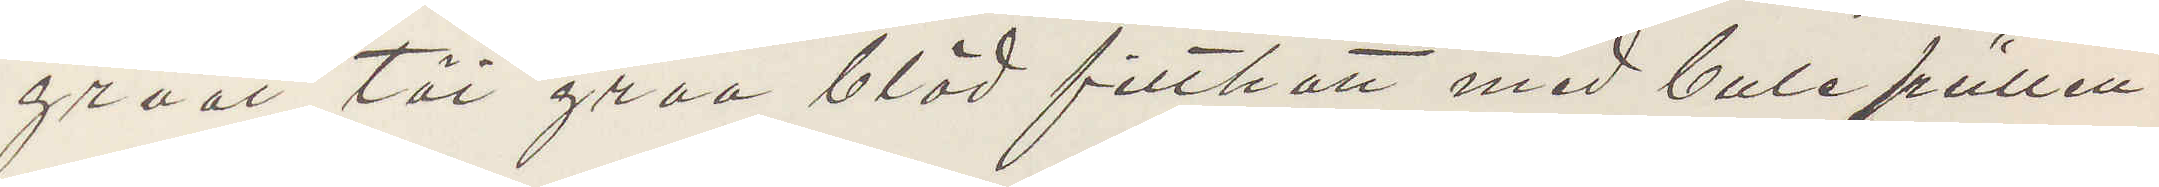graat töi graa blöd filthatt med bule püllen
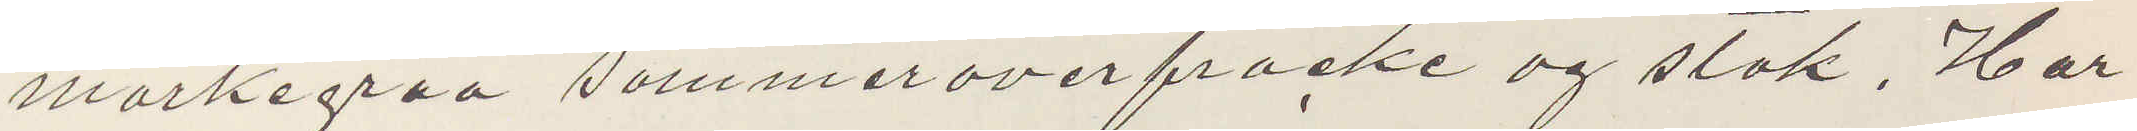mörkegraa sommeroverfracke og stok. Har
